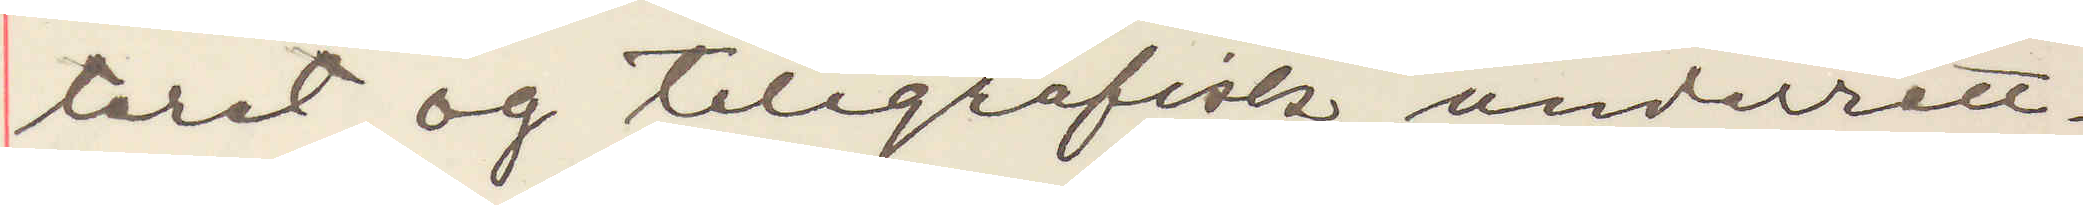teret og telegrafisk underrett¬
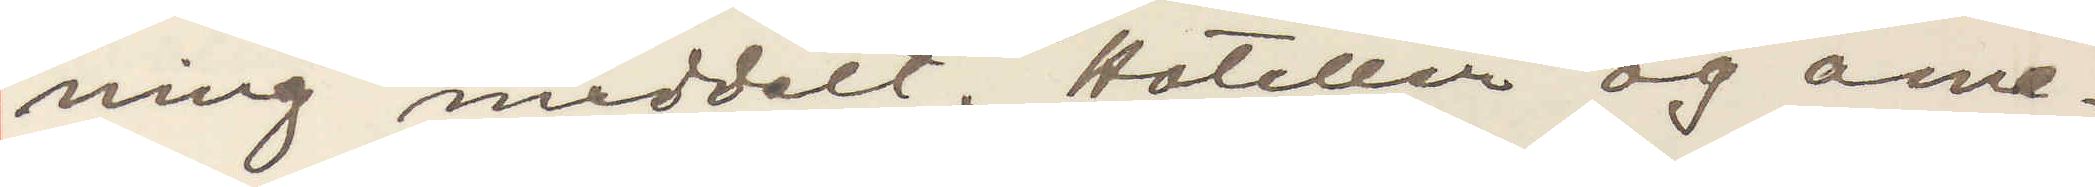ning meddelt Hoteller og ame¬
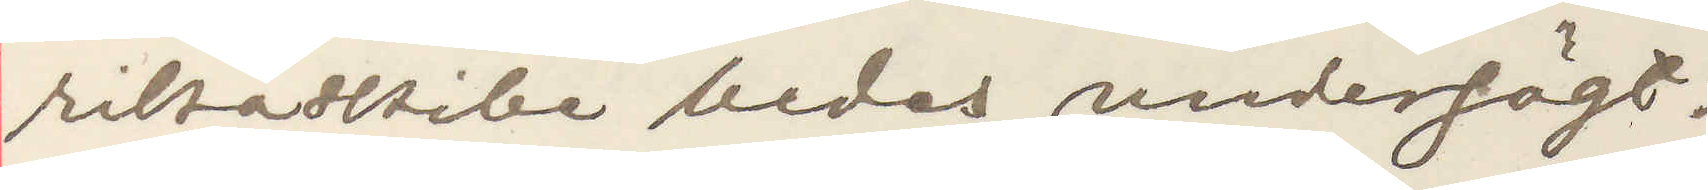rikaskibe bedes undersögt.
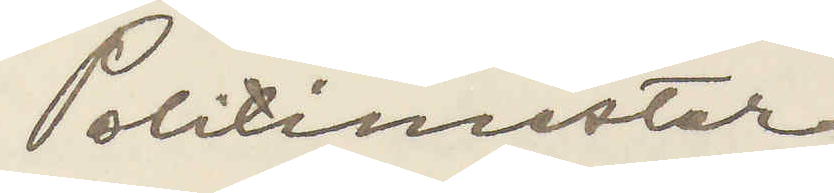Politimester
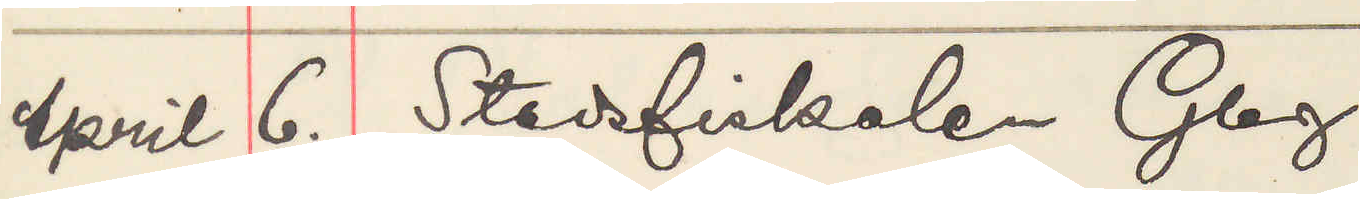April 6. Stadsfiskalen Gbg.
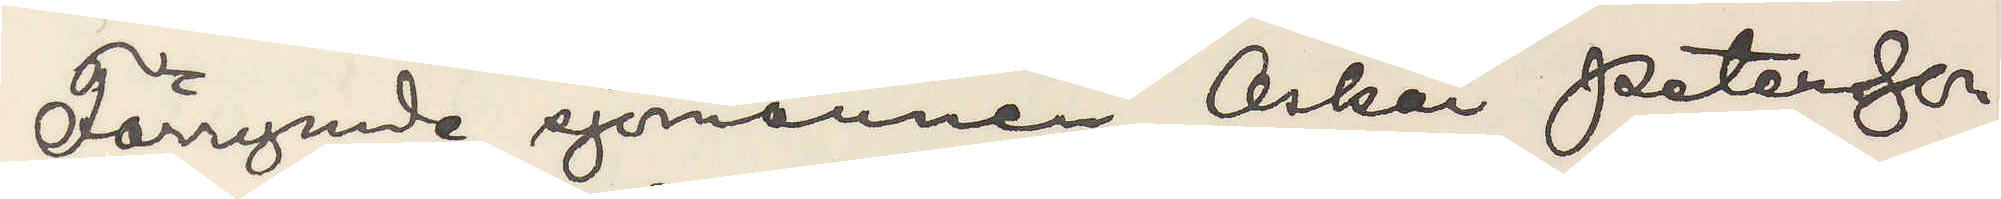Förrymde sjömannen Oskar Petersson
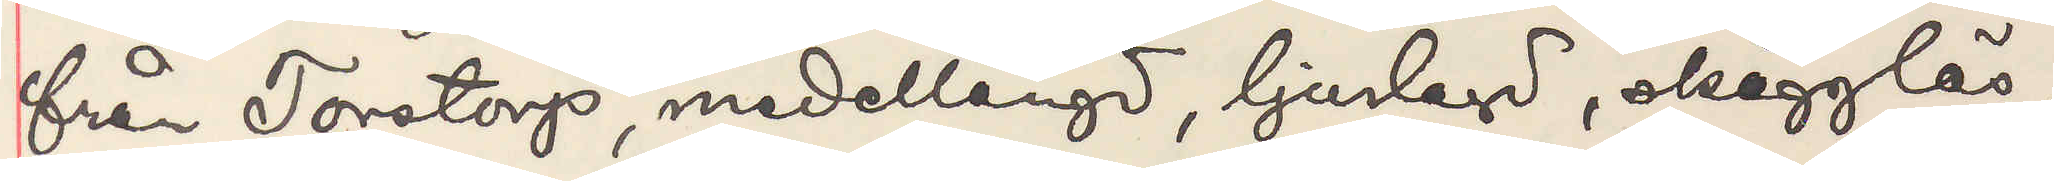från Torstorp medellängd, ljuslagd, skägglös,
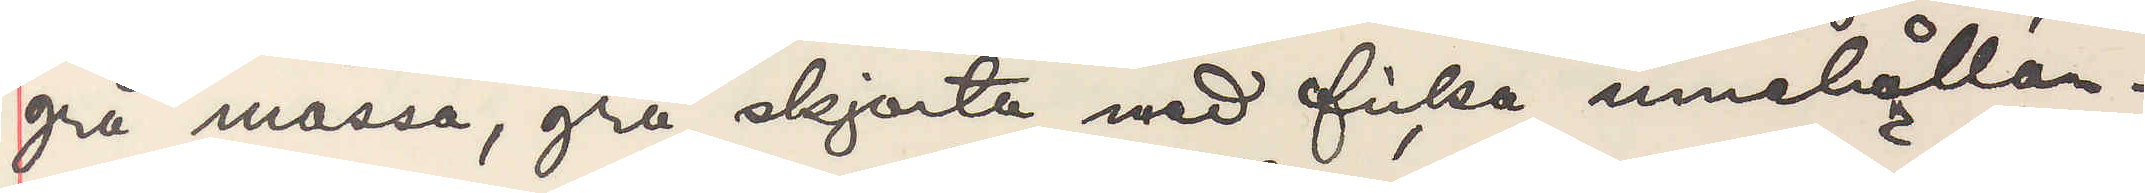grå mössa, grå skjorta med ficka innehållan¬
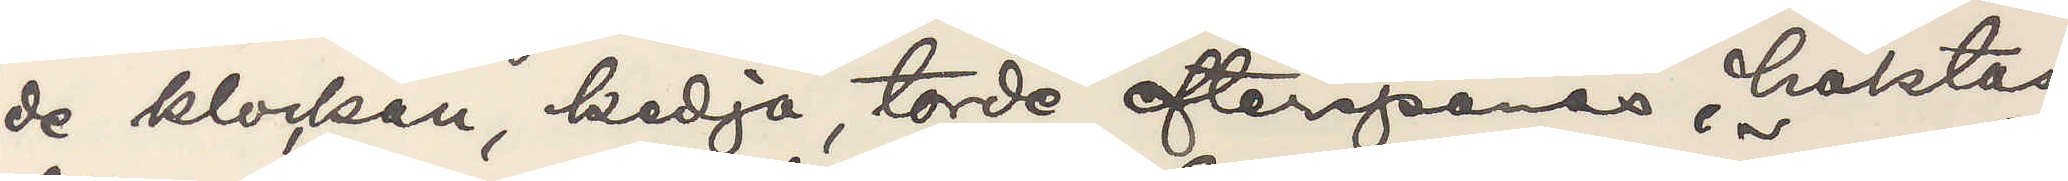de klockan, kedja, torde efterspanas, häktas
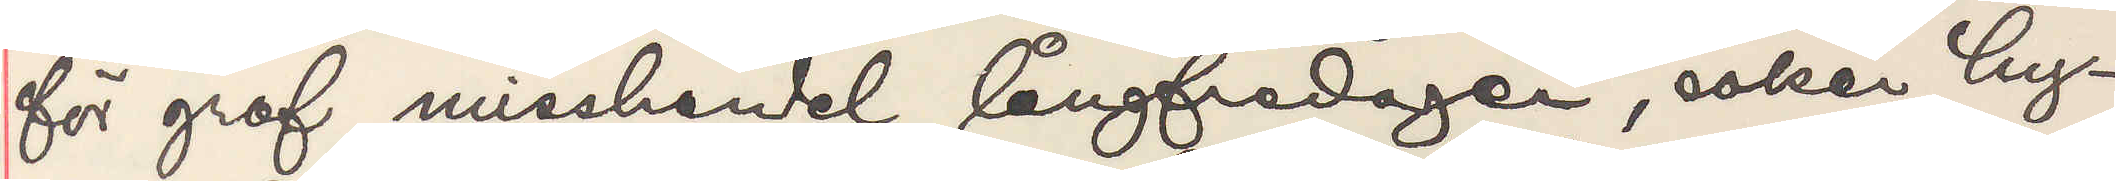för grof misshandeln långfredagen, söker hy¬
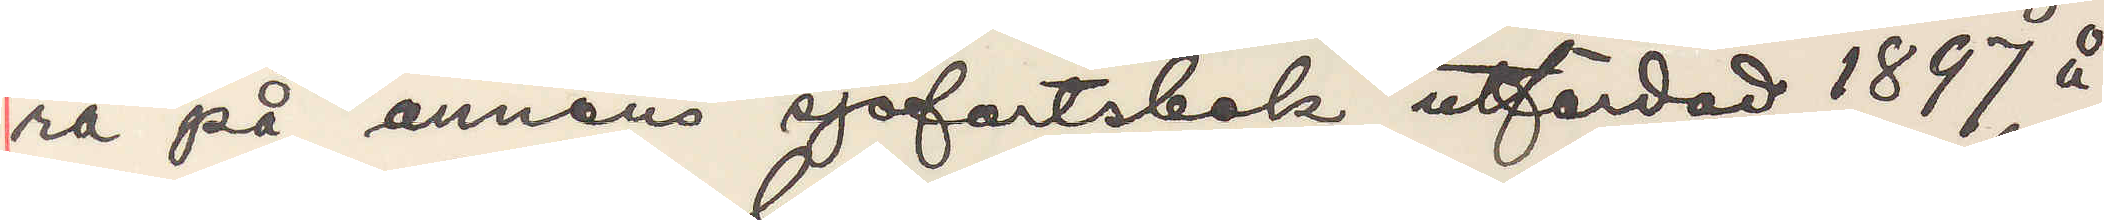ra på annans sjöfartsbok utfärdad 1897 å
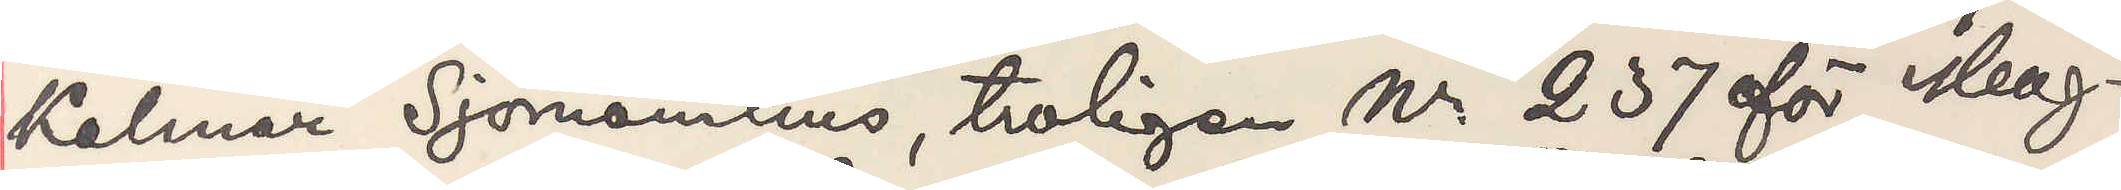Kalmar Sjömanhus, troligen Nr 237 för Ma¬
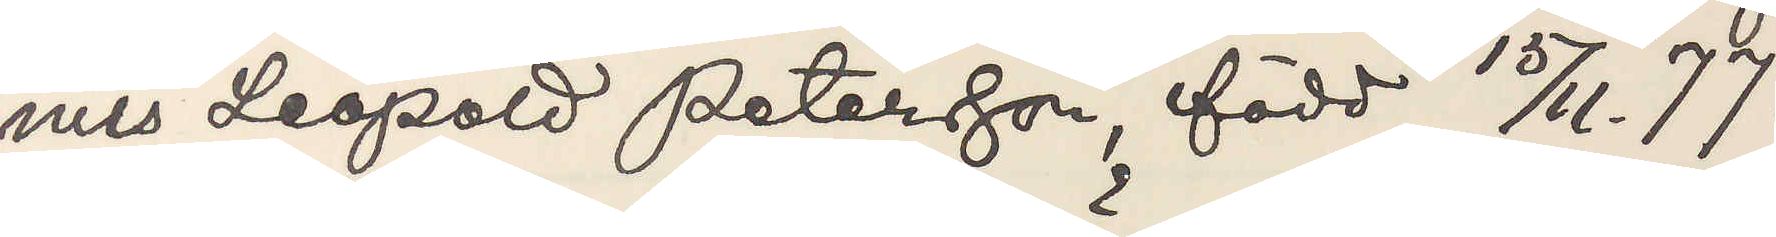nus Leopold Petersson, född 15/11 77.
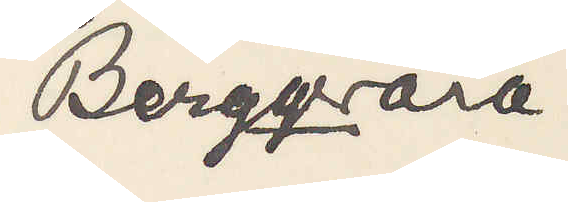Bergqvara
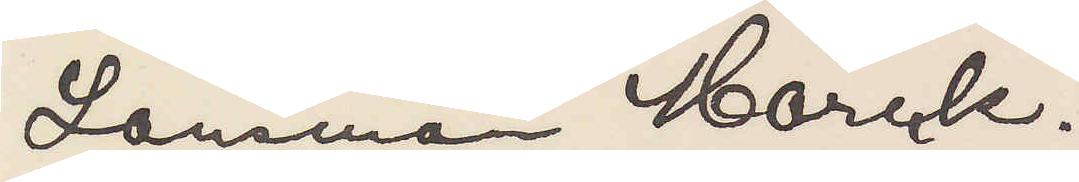Länsman Mörck.
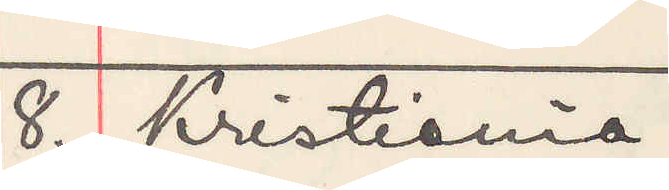8. Kristiania.
